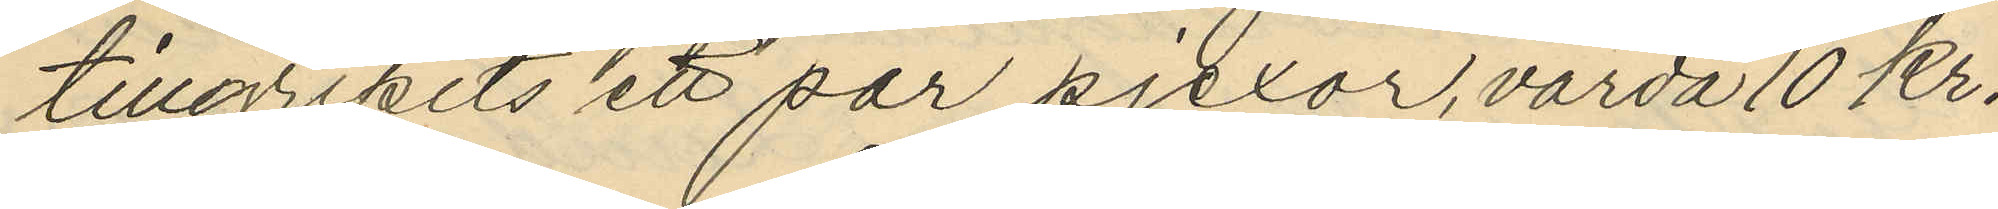tillgripits ett par pjexor, värda 10 kr.
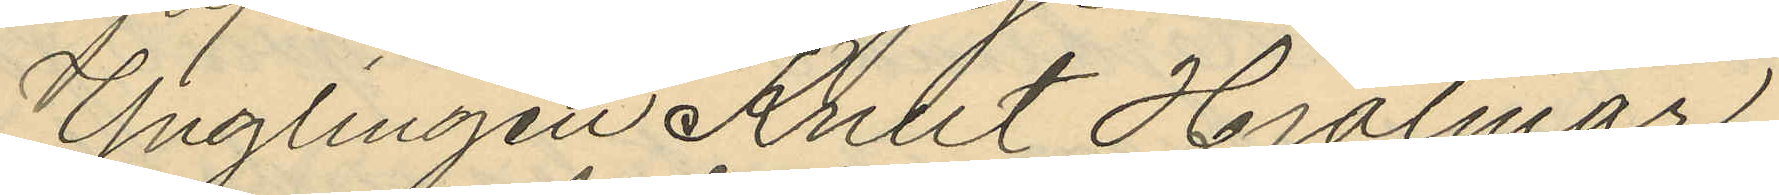Ynglingen Krut Hjalmar
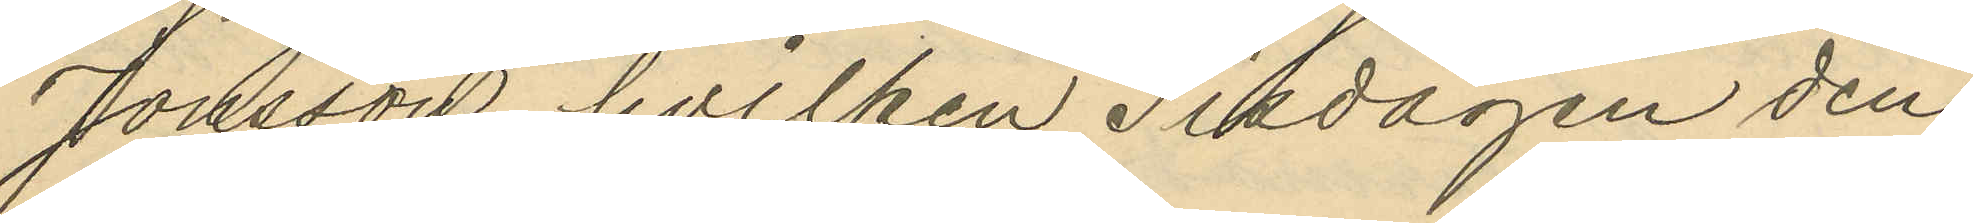Jonsson hvilken Tisdagen den
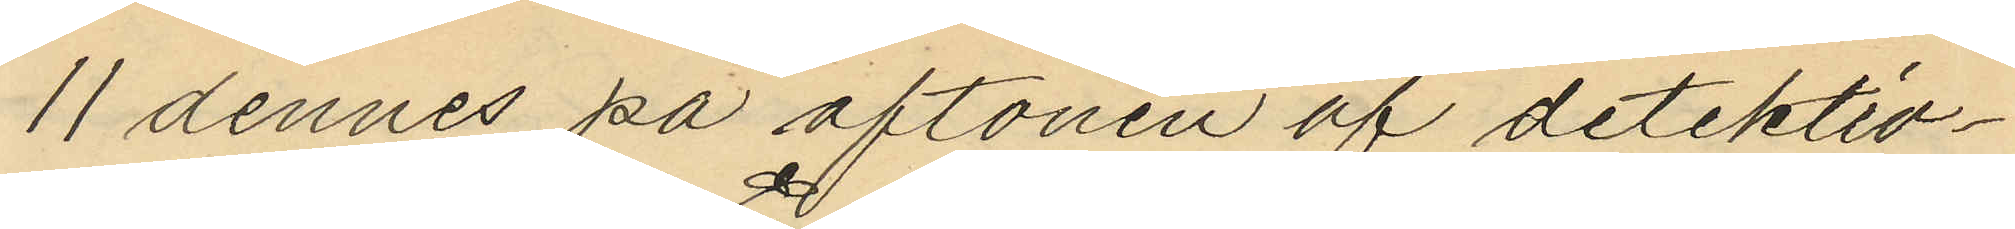11 dennes på aftonen af detektiv¬
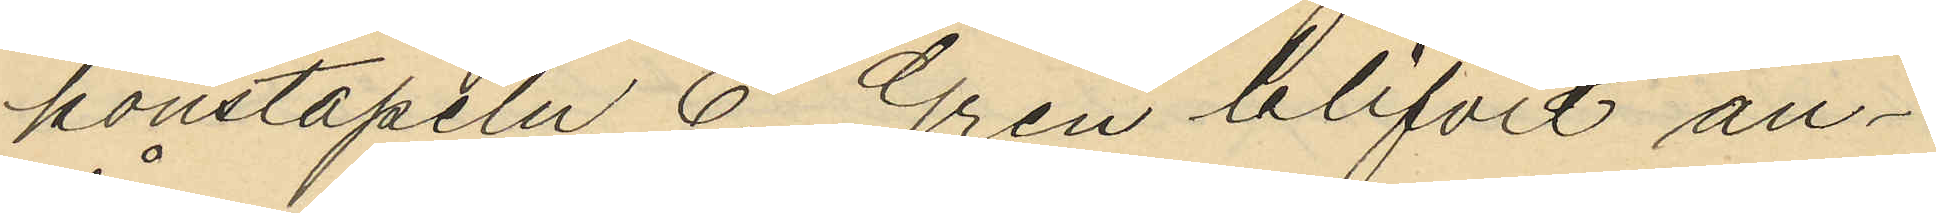konstapeln E. Gren blifvit an¬
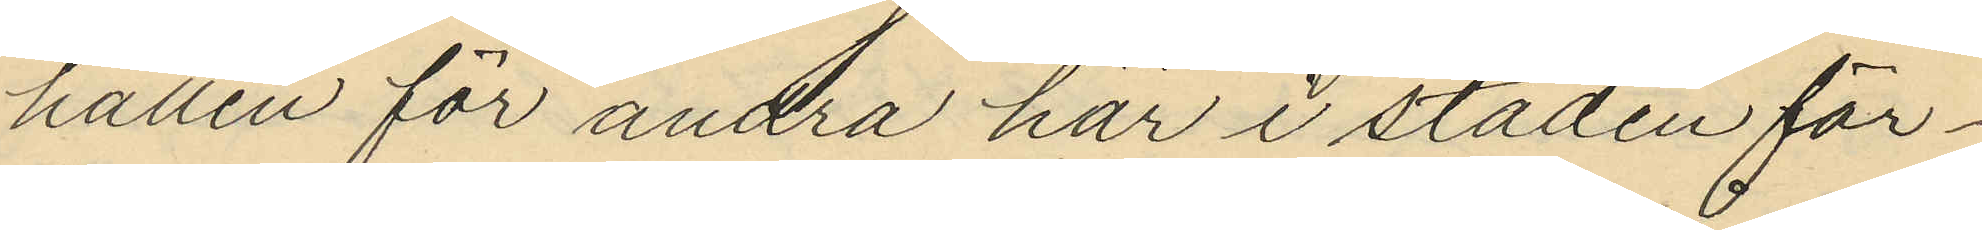hållen för andra här i staden för¬
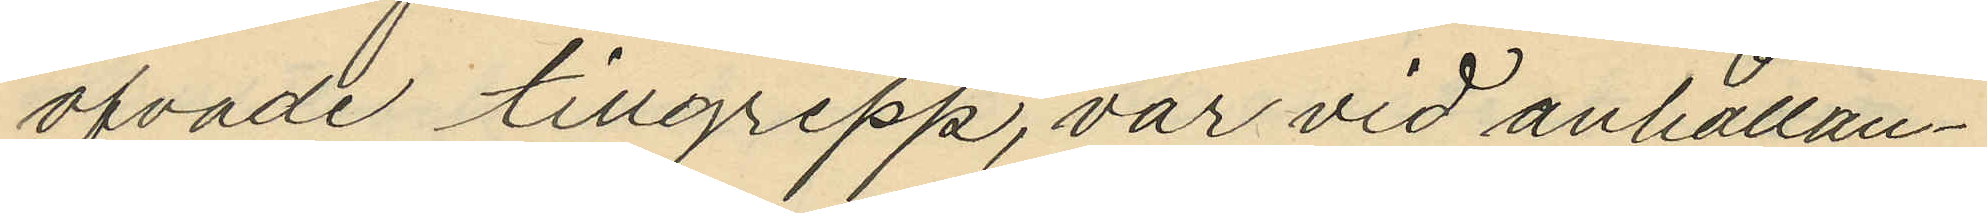öfvade tillgrepp, var vid anhållan¬
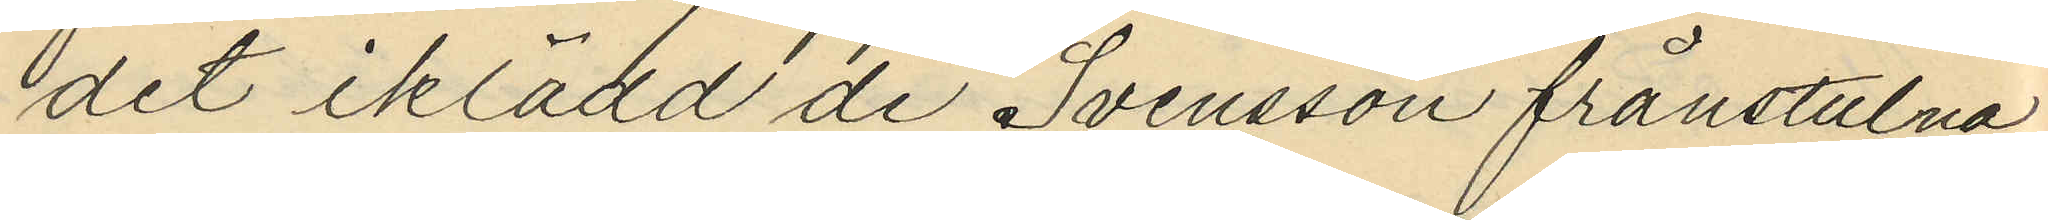det iklädd de Svensson frånstulna
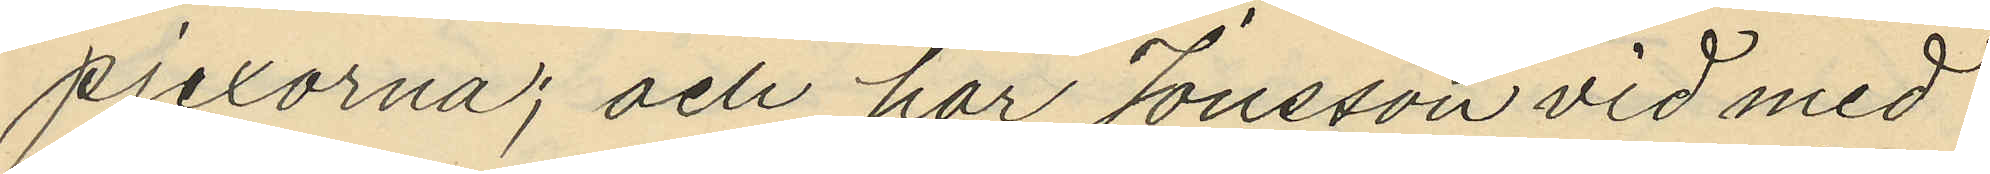pjexorna; och har Jonsson vid med
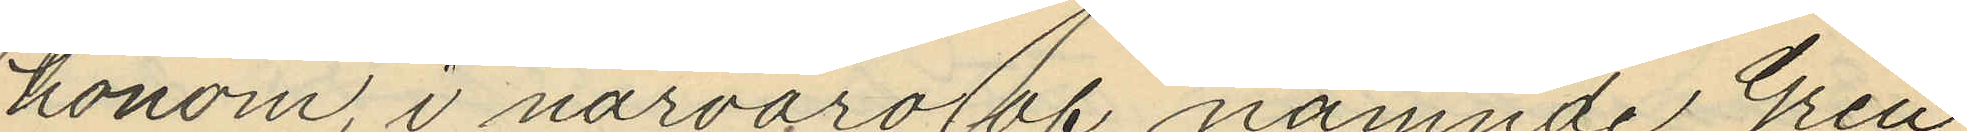honom, i närvaro af nämnde Gren
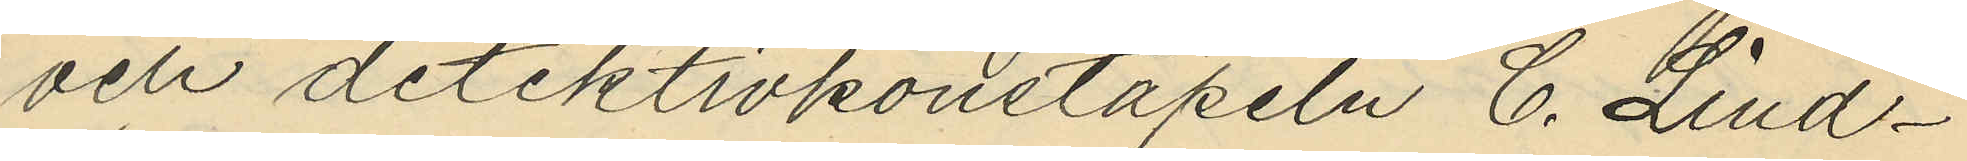och detektivkonstapeln C. Lind¬
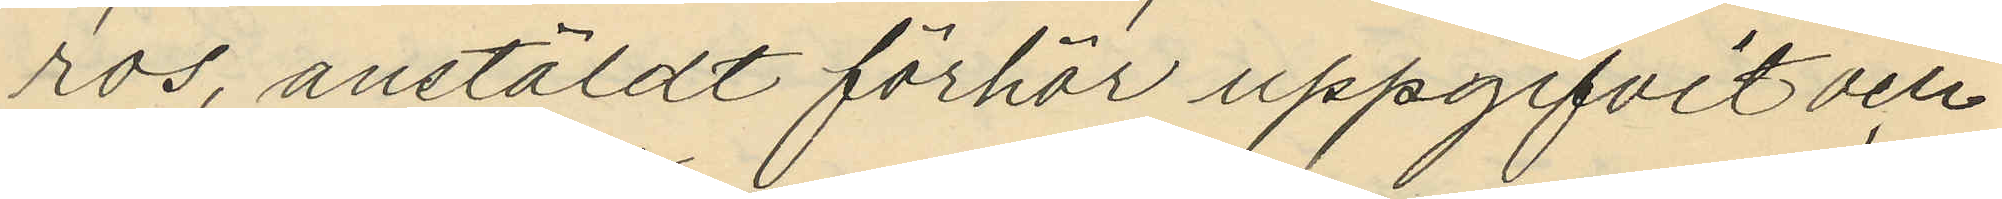ros, anstäldt förhör uppgifvit och
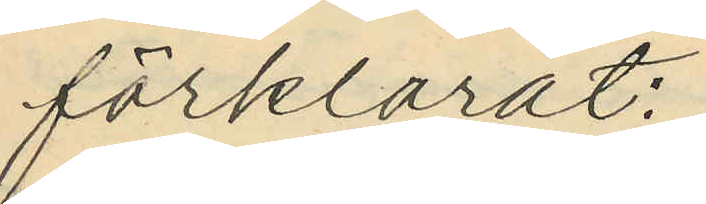förklarat:
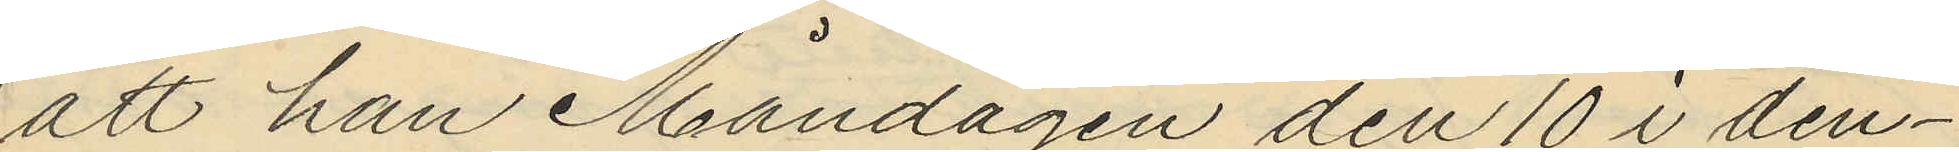att han Måndagen den 10 i den¬
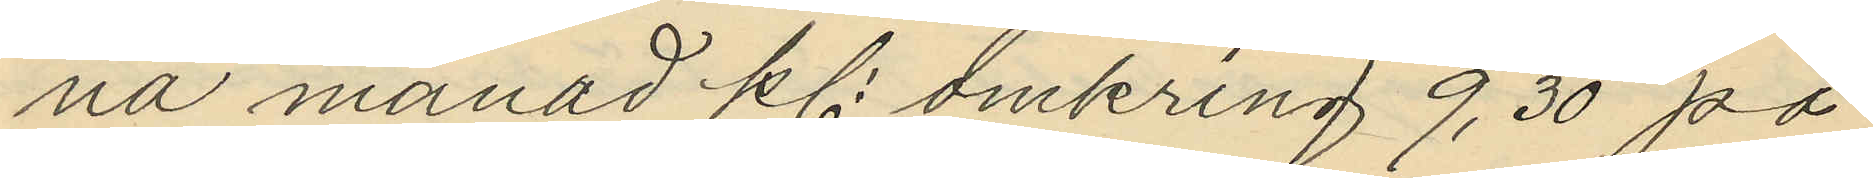na månad kl. omkring 9,30 på
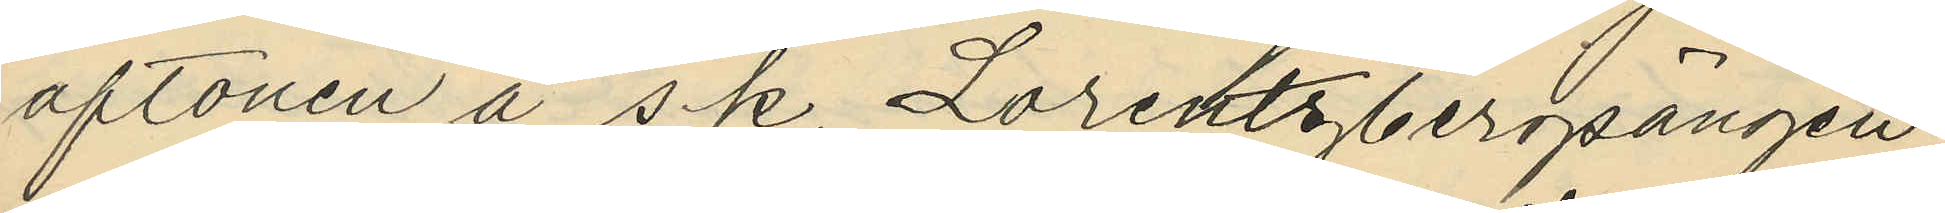aftonen å s.k, Lorentzbergsängen
